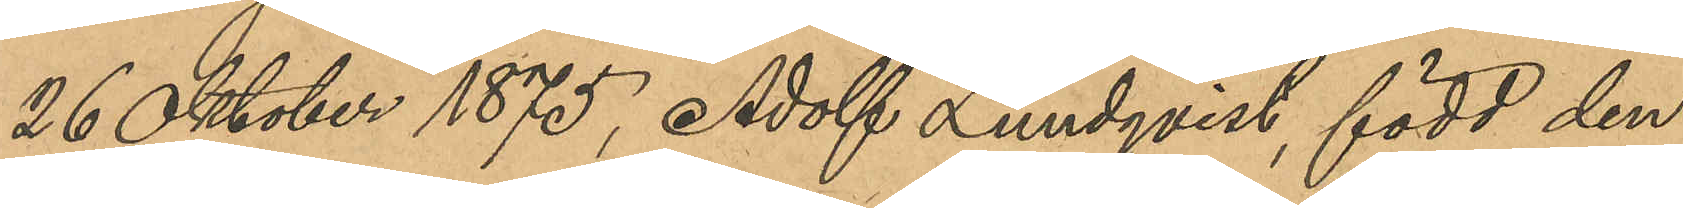26 Oktober 1875, Adolf Lundqvist, född den
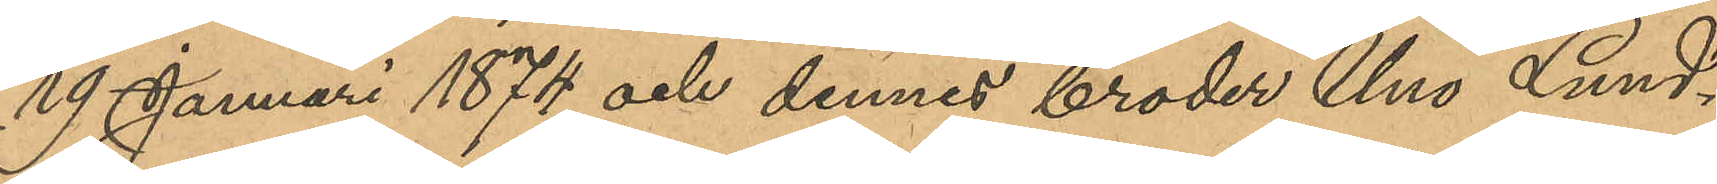19 Januari 1874 och dennes broder Uno Lund¬
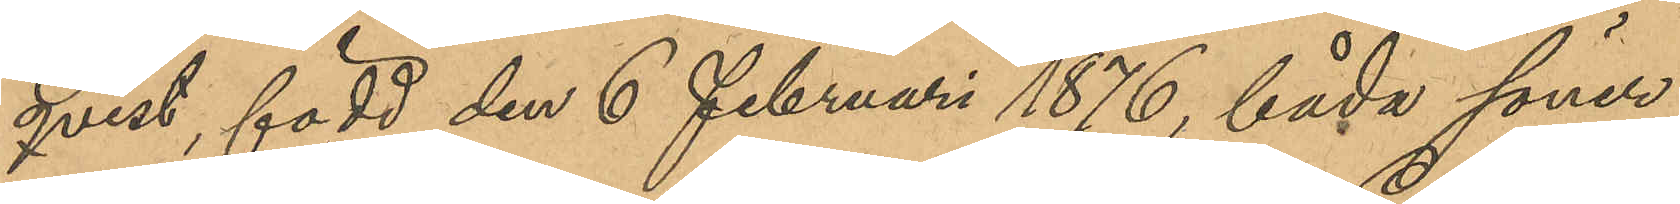qvist, född den 6 februari 1876, båda söner
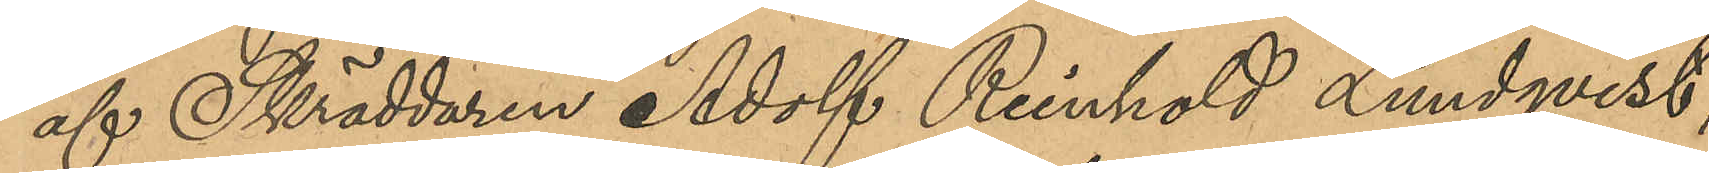af Skräddaren Adolf Reinhold Lundqvist,
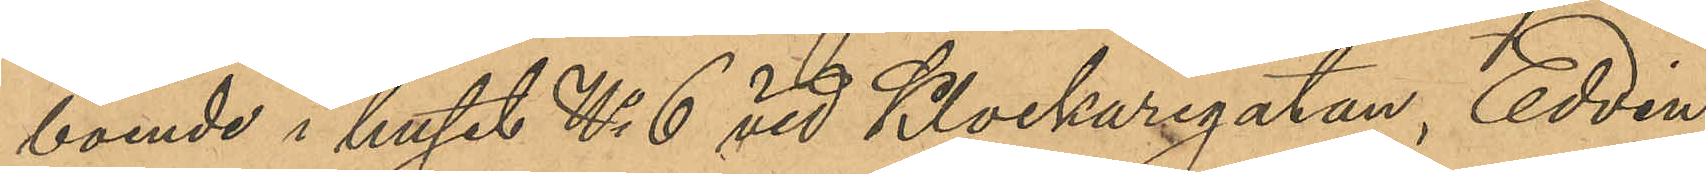boende i huset No 6 vid Klockaregatan, Edvin
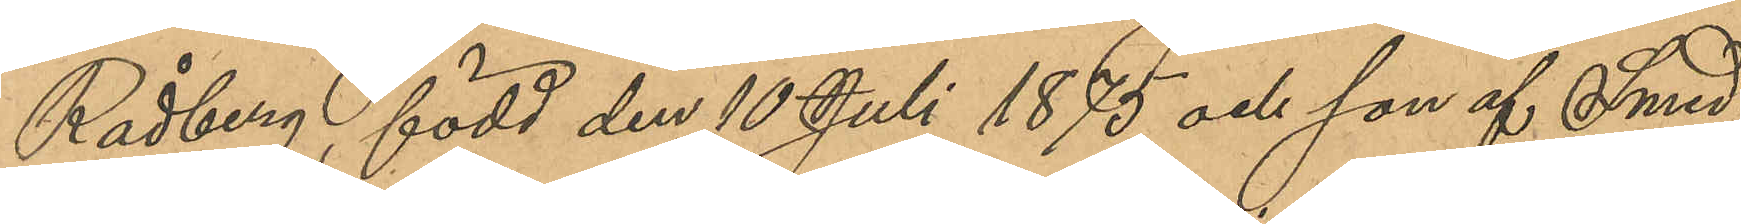Rådberg, född den 10 Juli 1875 och son af Smed¬
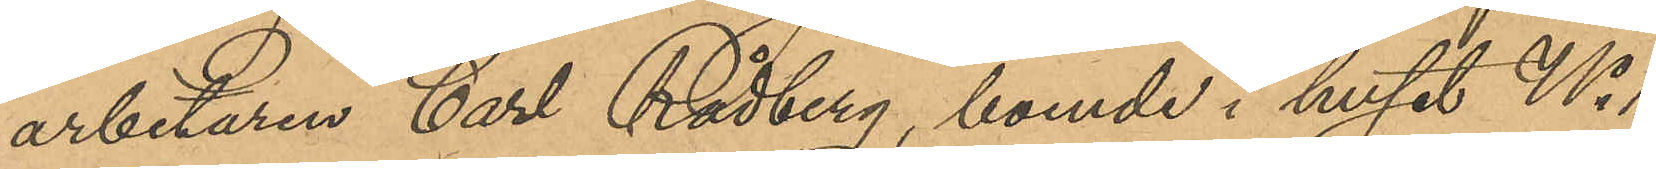arbetaren Carl Rådberg, boende i huset No 11
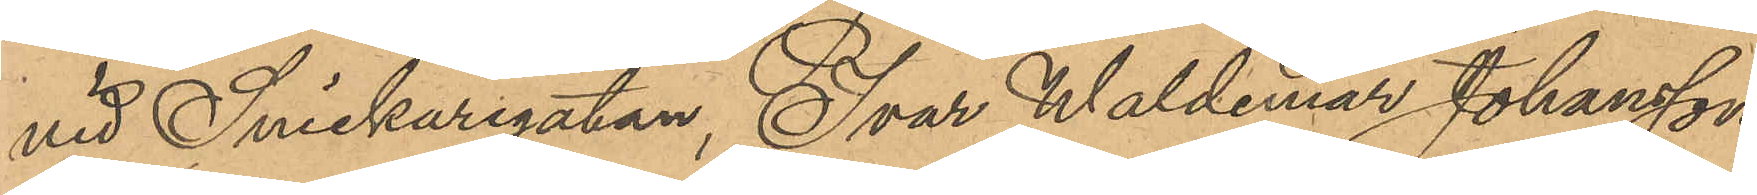vid Snickaregatan, Ivar Waldemar Johansson,
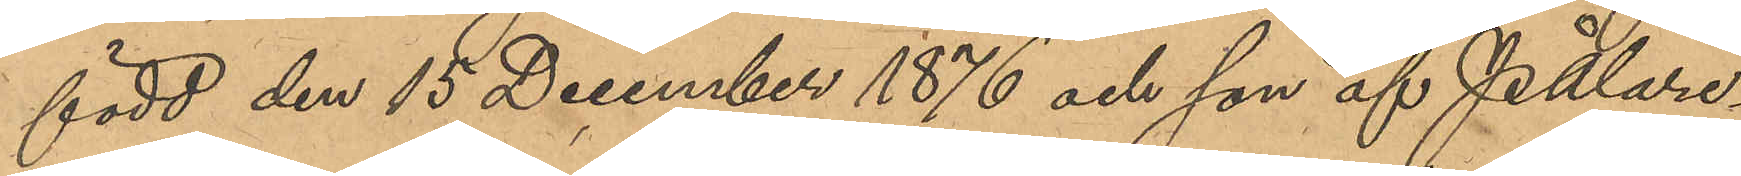född den 15 December 1876 och son af Pålare¬
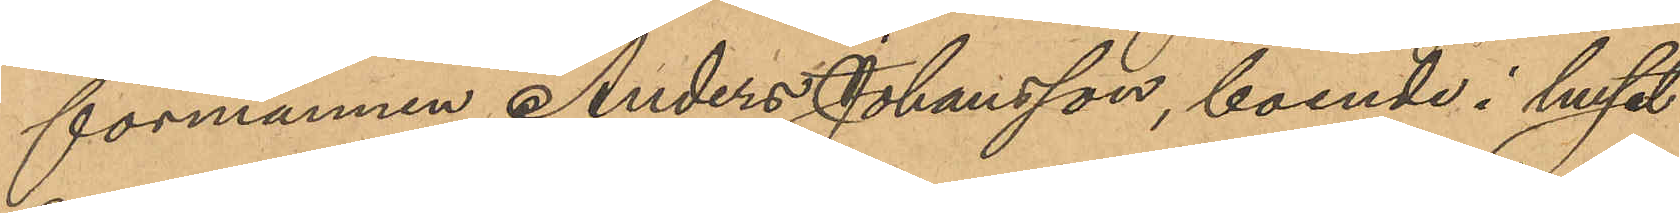förmannen Anders Johansson, boende i huset
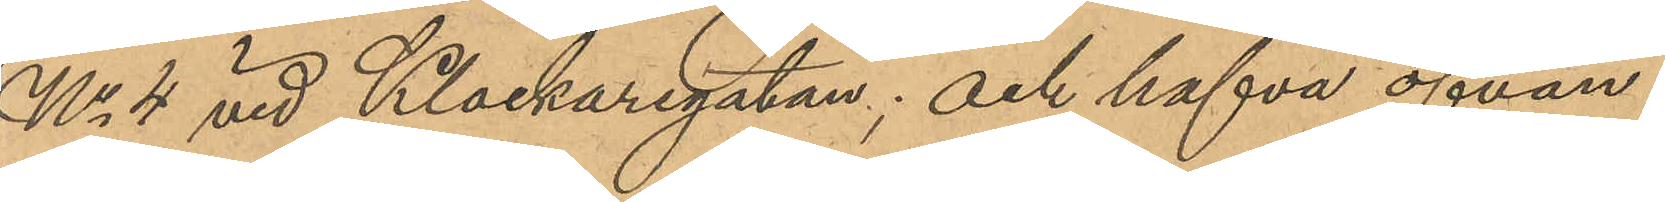No 4 vid Klockaregatan och hafva ofvan¬
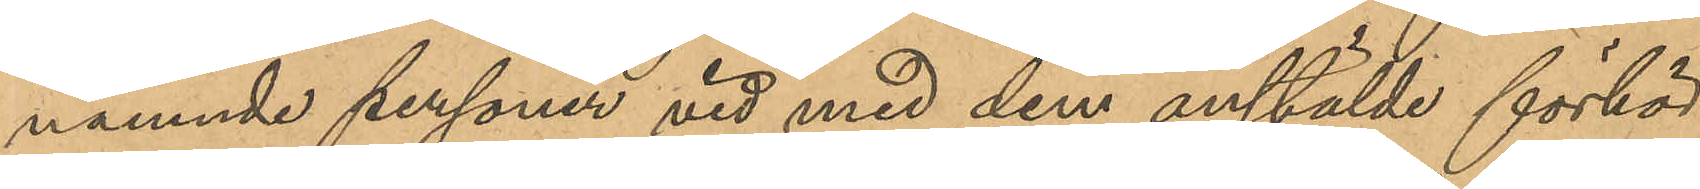nämnde personer vid med dem anställde förhör
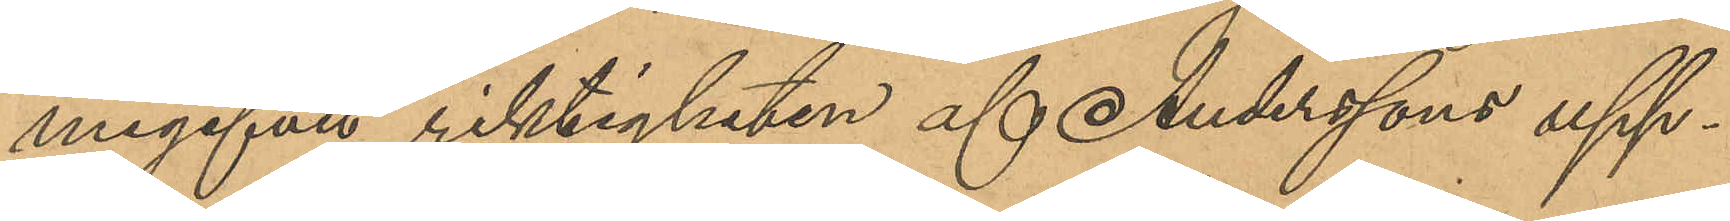megifvit riktigheten af Anderssons upp¬
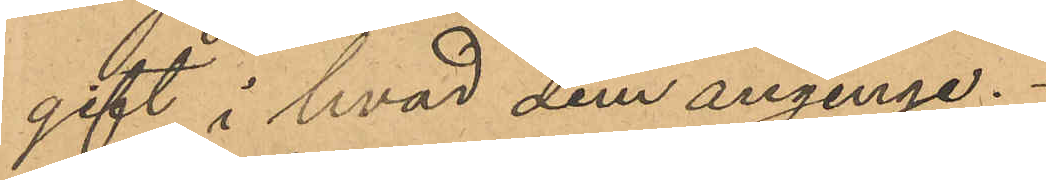gift i hvad dem anginge.
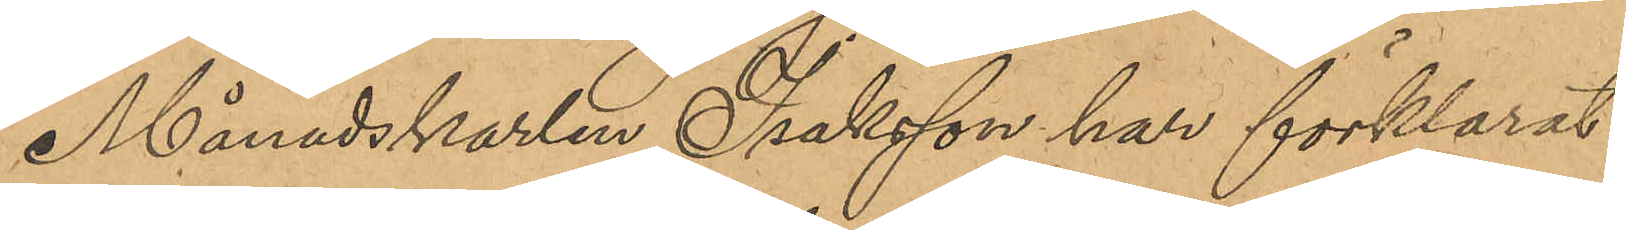Månadskarlen Isaksson har förklarat
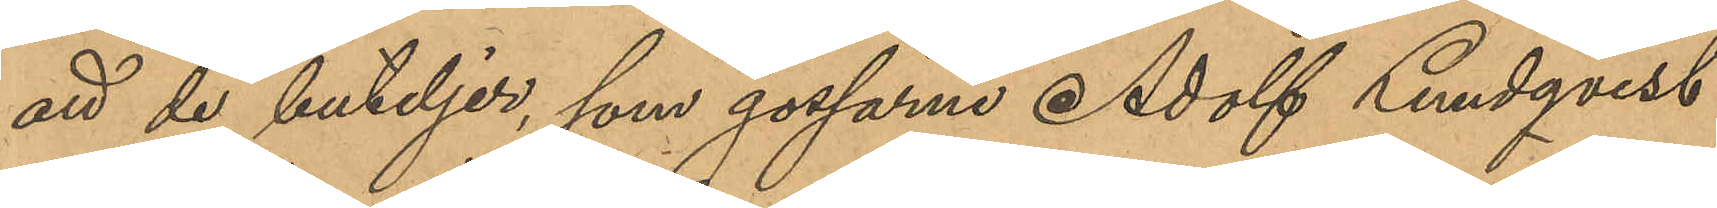att de buteljer, som gossarne Adolf Lundqvist
